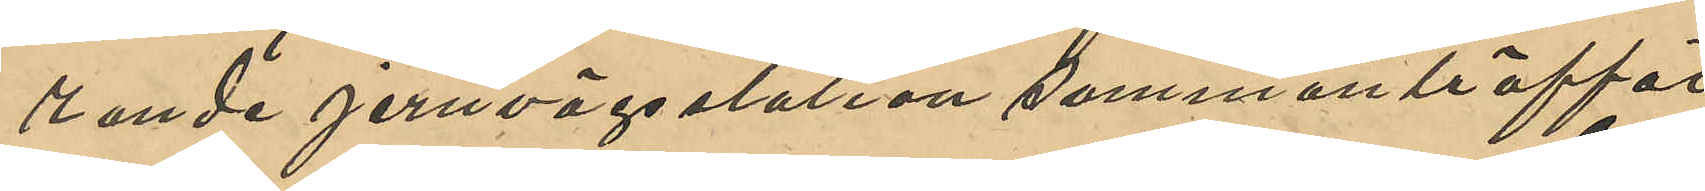rande jervägsstation sammanträffat
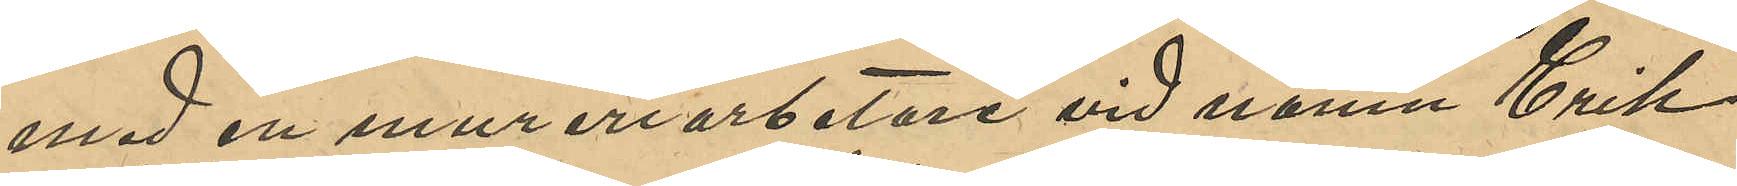med en mureriarbetare vid namn Erik
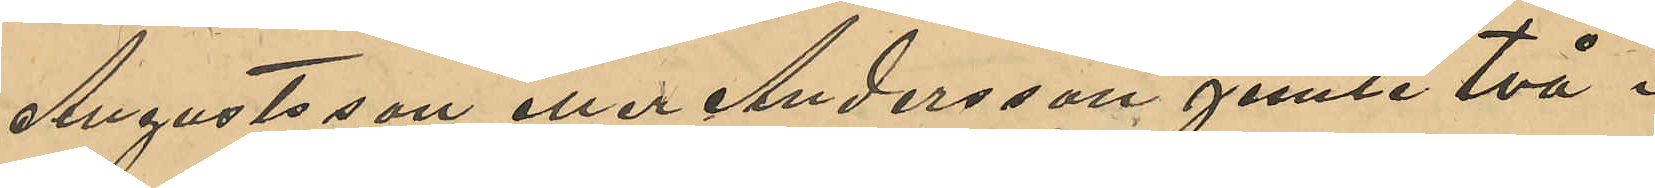Augustsson eller Andersson jemte två i
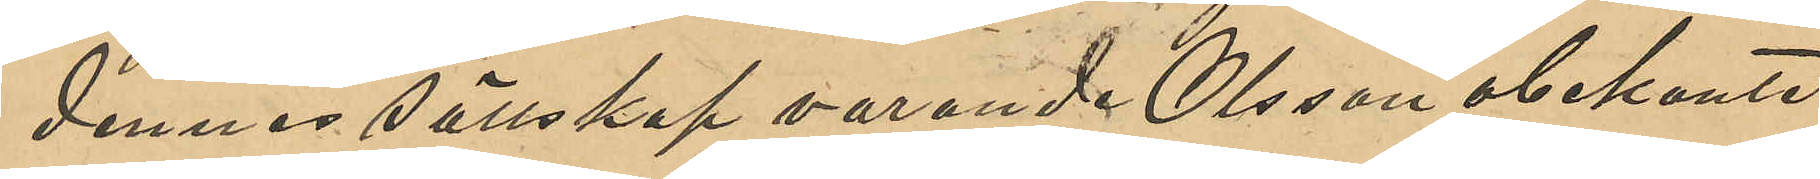dennes sällskap varande Olsson obekante
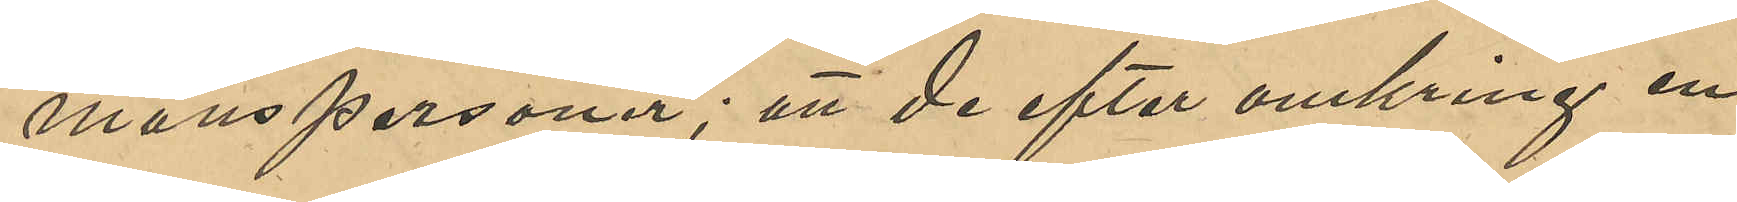manspersoner; att de efter omkring en
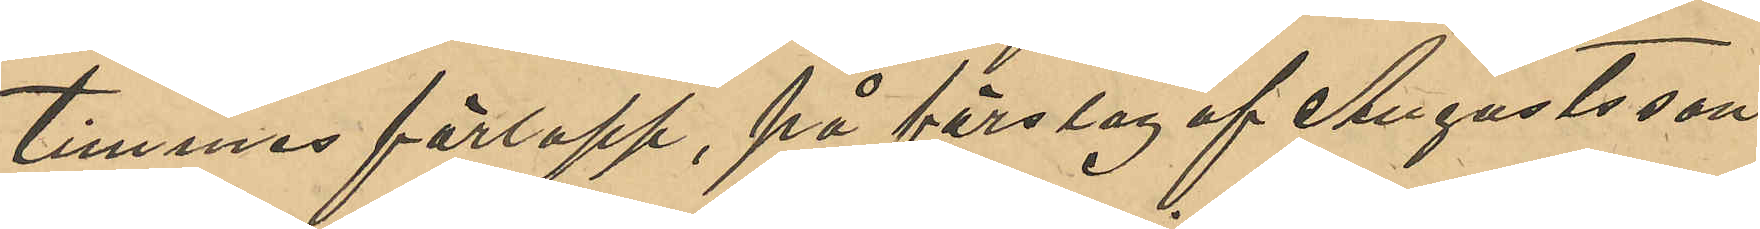timmes förlopp, på förslag af Augustsson
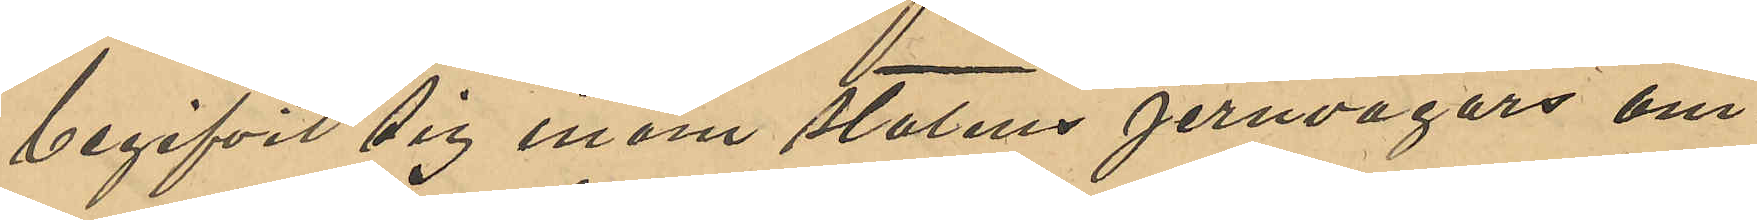begifvit sig inom Statens jernvägars om¬
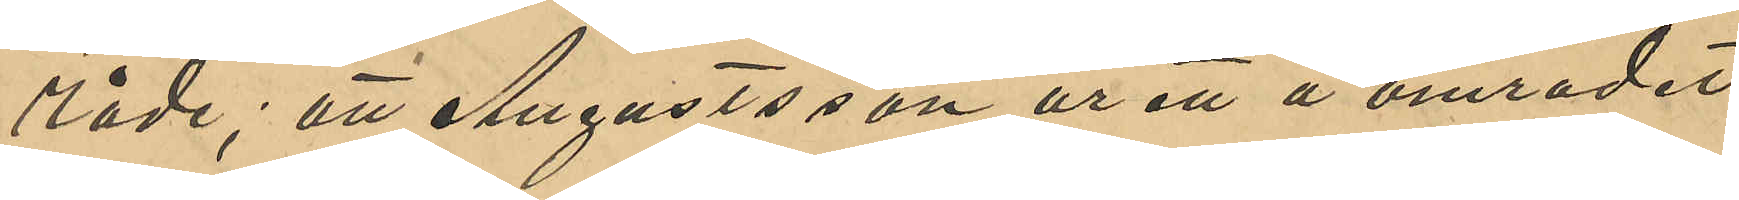råde; att Augustsson ur ett å området
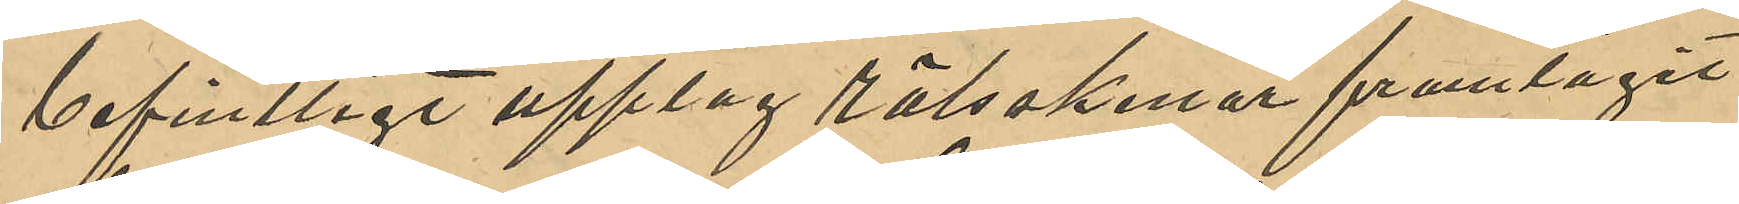befintligt upplag rälsskenor framtagit
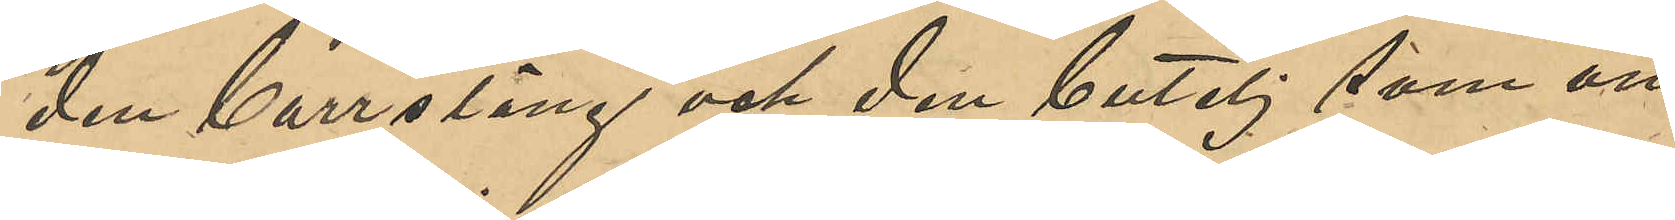den borrsläng och den butelj som an¬
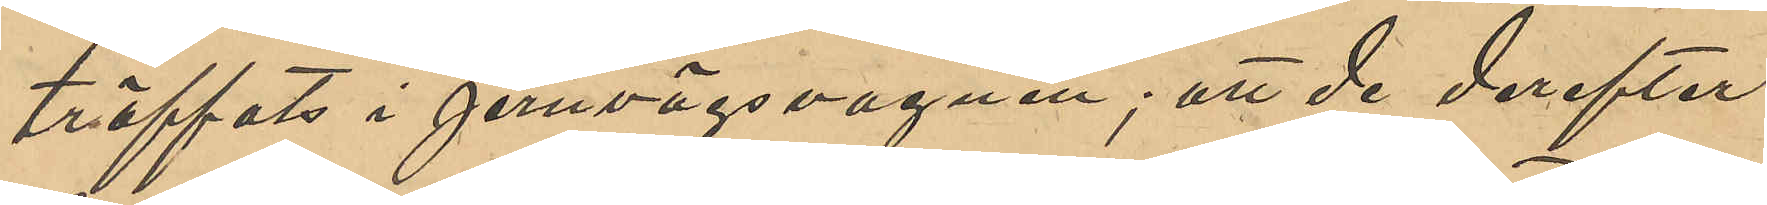träffats i jernvägsvagnen; att de derefter
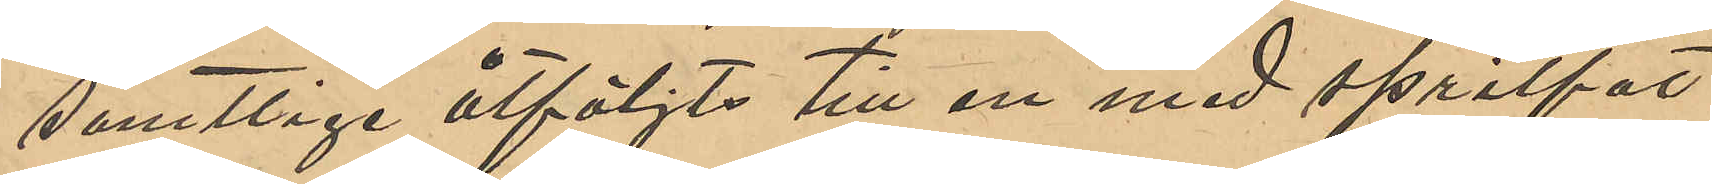samtlige åtföljts till en med spritfat
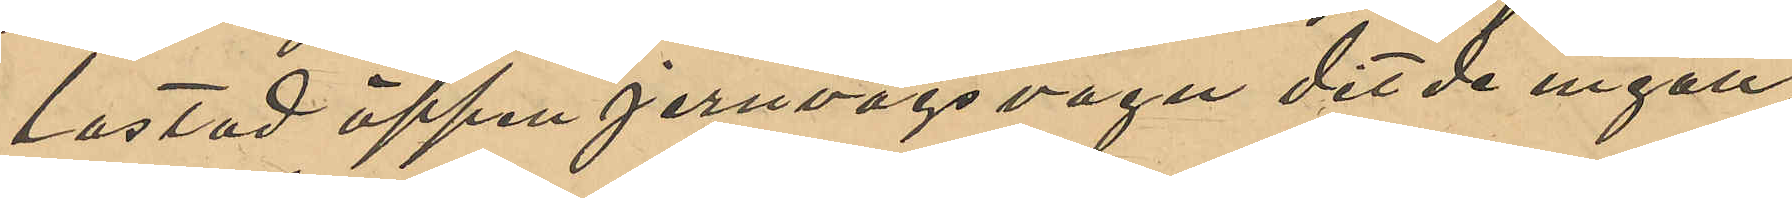lastad öppen jernvägsvagn dit de ingått;
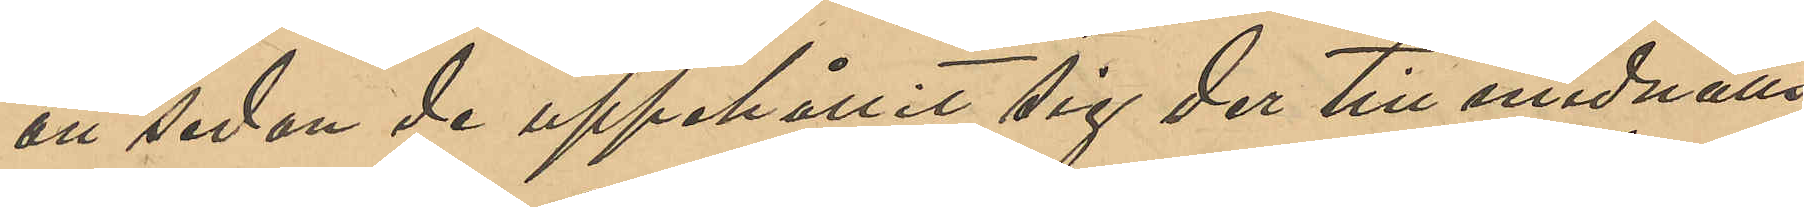att sedan de uppehållit sig der till midnatts¬
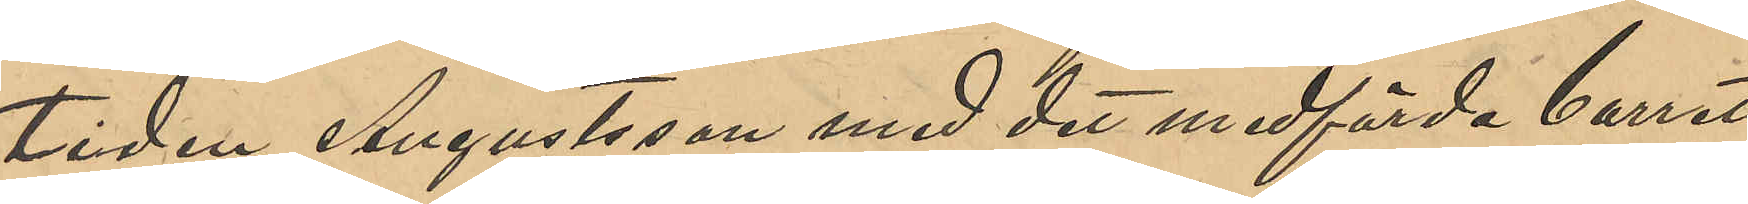tiden, Augustsson med det medförda borret
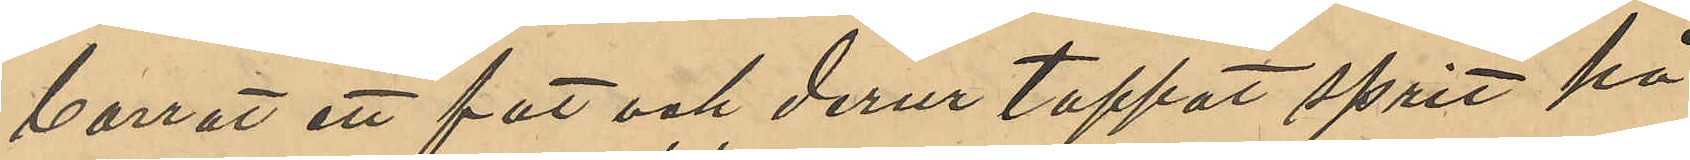borrat ett fat och derur tappat sprit på
